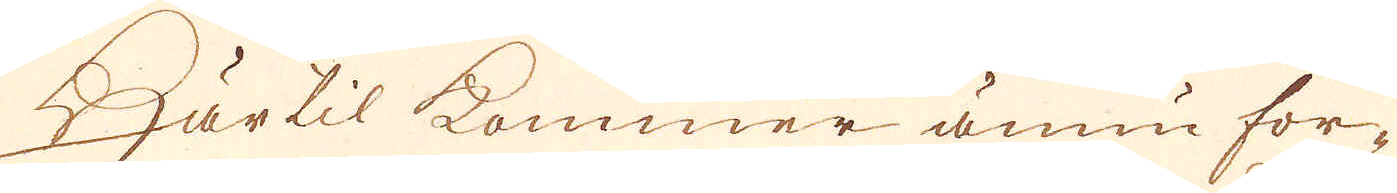Härtil kommer ännu for-
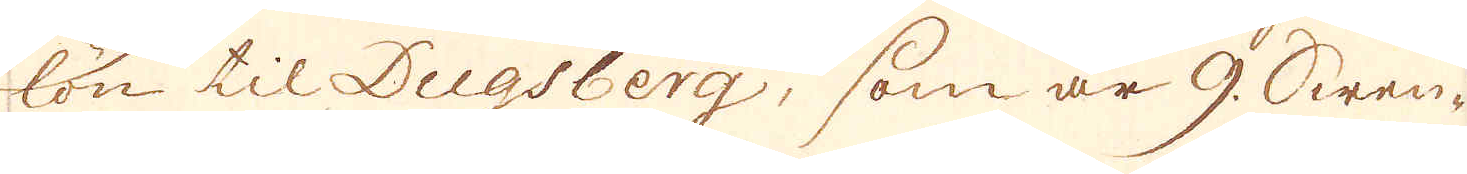lön til Dugsberg, som är 9. Swen-
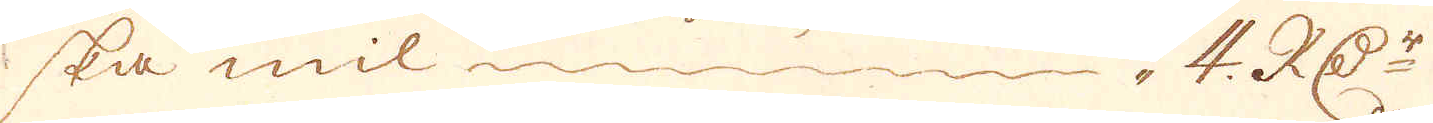ska mil 4. R:Dr
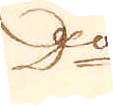D:o
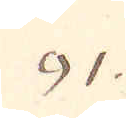91.
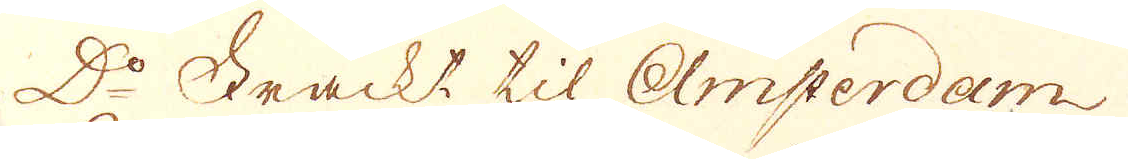D:o Frackt til Amsterdam
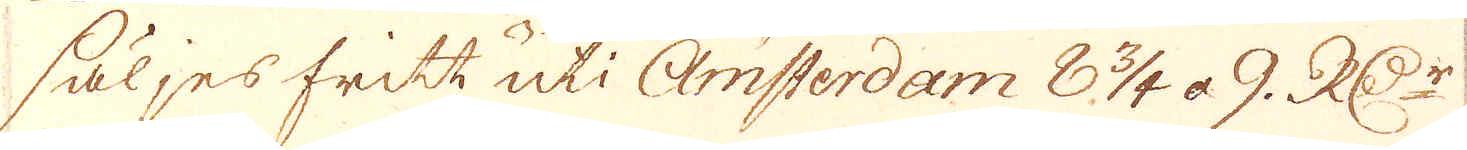säljes fritt uti Amsterdam 8 3/4 à 9. R:Dr
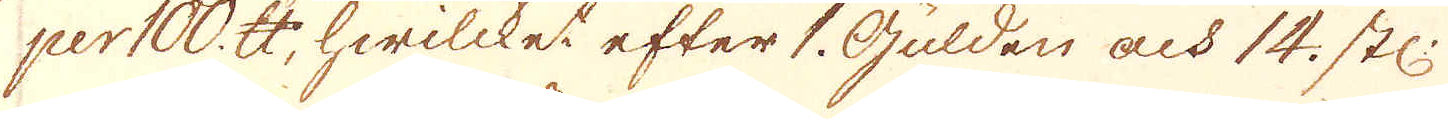per 100. skålpund, hwilcket efter 1. Gulden och 14. st:
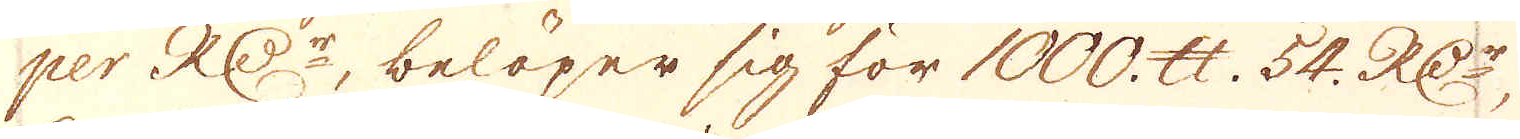per R:Dr, belöper sig för 1000. skålpund 54. R:Dr,
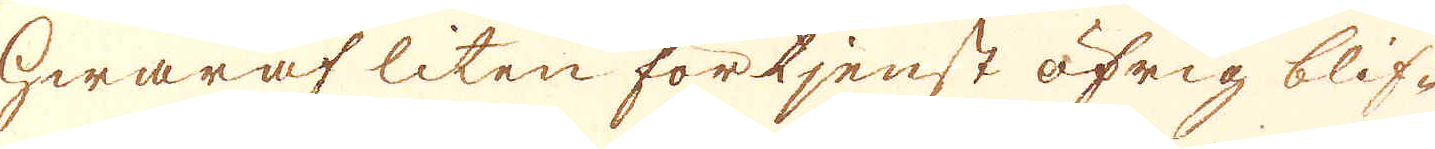hwaraf liten förtjenst öfrig blif-
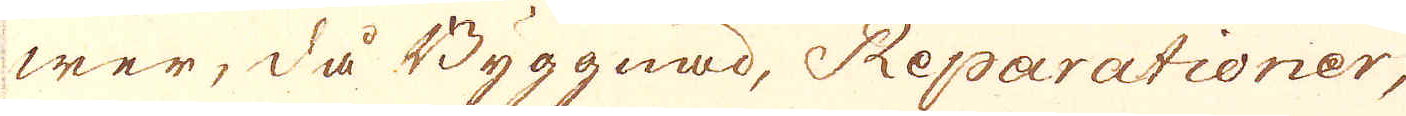wer, då Byggnad, Reparationer,
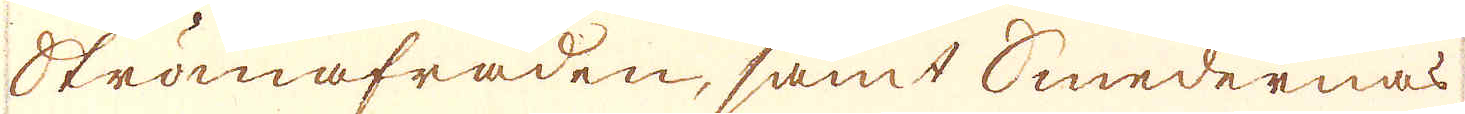Strömafraden, samt Smedernas
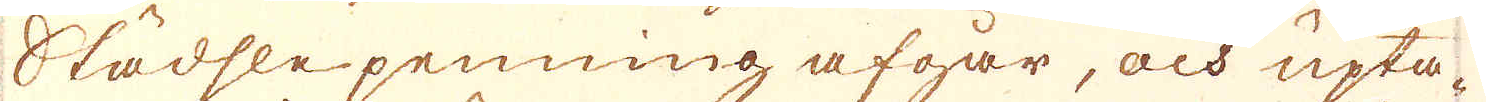Städsle penning afgår, och upta-
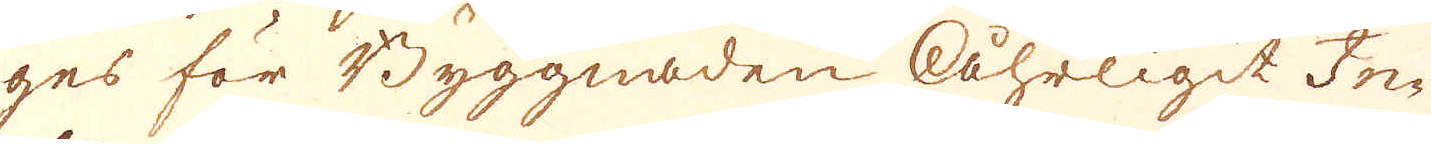ges för Byggnaden Åhrligit In-
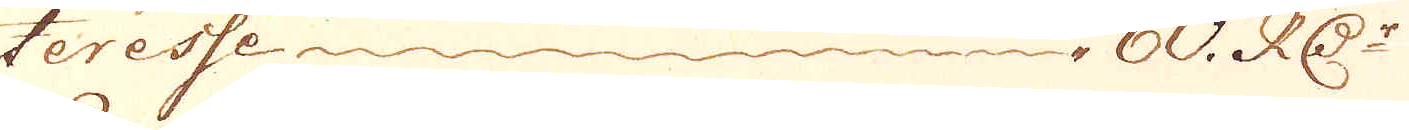teresse 60. R:Dr
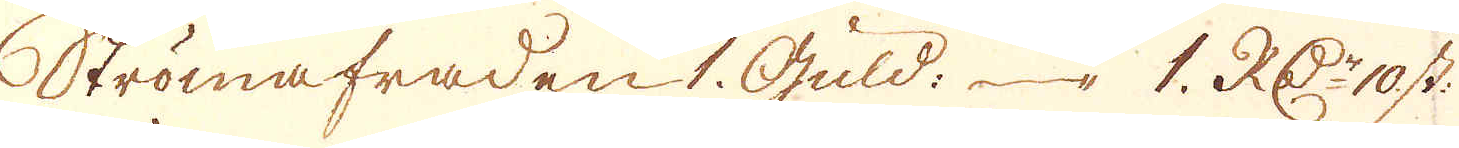Strömafraden 1. Guld: 1. R:Dr 10 st:
